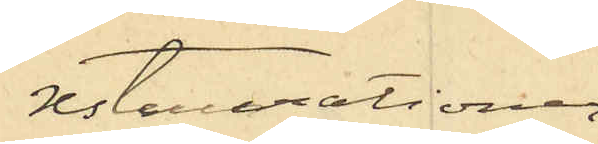restaurationer
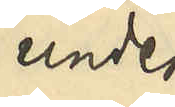under
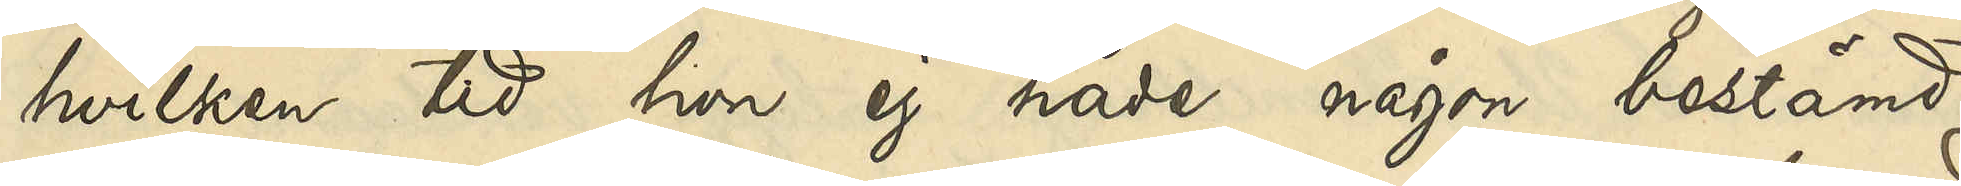hvilken tid hon ej hade någon bestämd
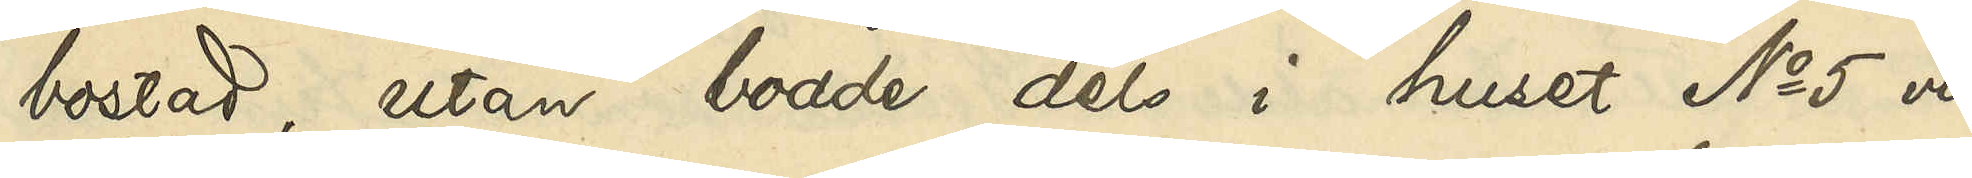bostad, utan bodde dels i huset No 5 vid
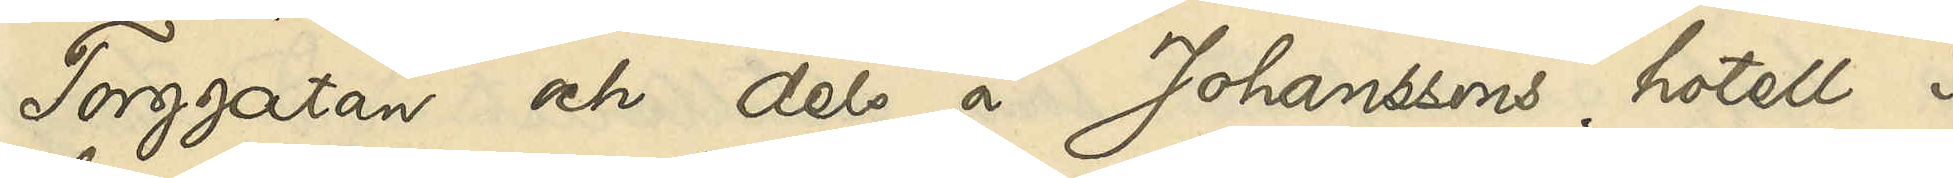Torggatan och dels å Johanssons hotell i
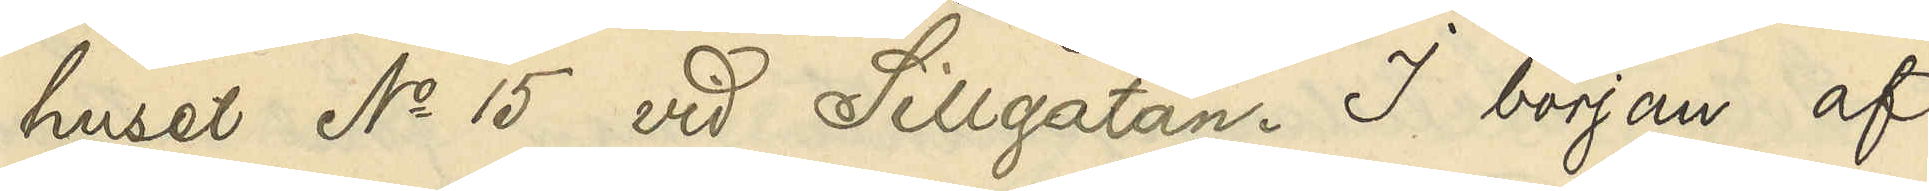huset No 15 vid Sillgatan. I början af
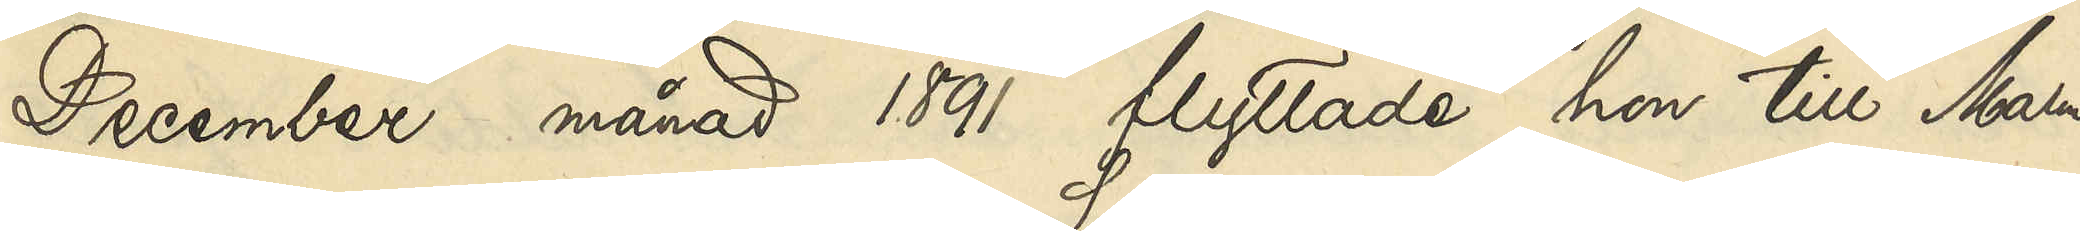December månad 1891 flyttade hon till Malm¬
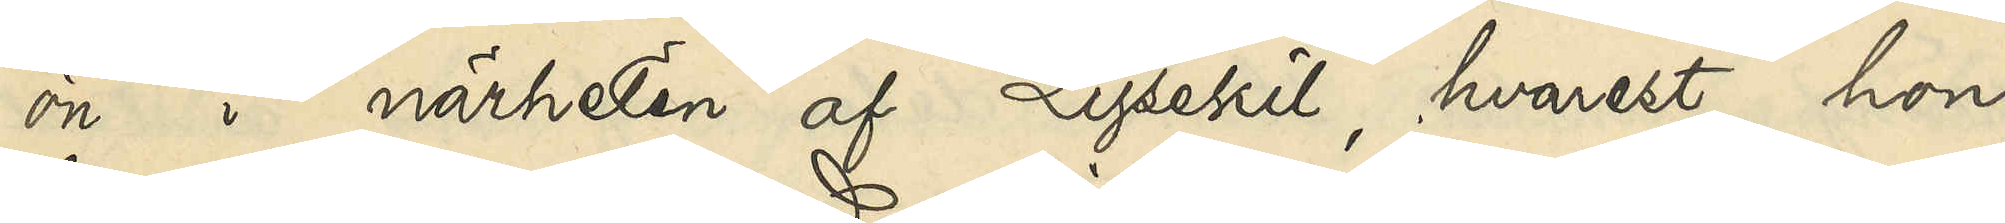ön i närheten af Lysekil, hvarest hon
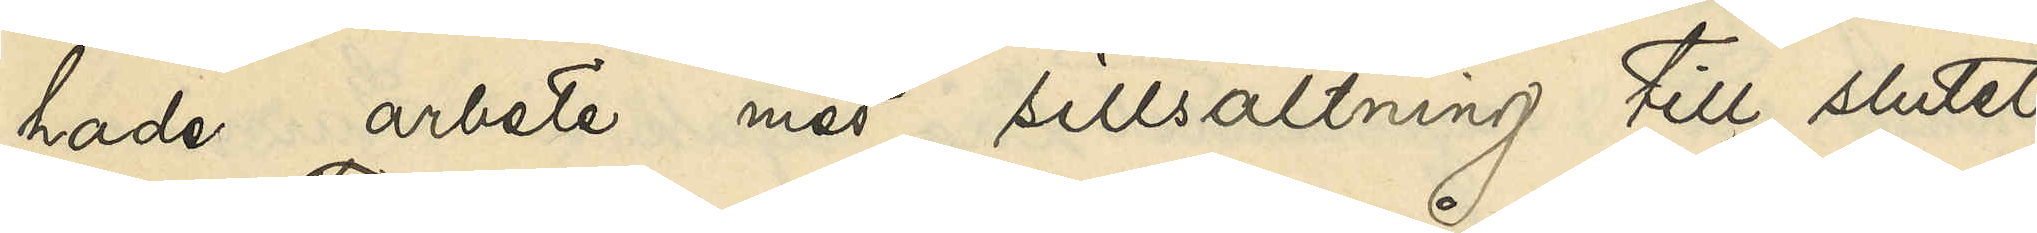hade arbete med sillsaltning till slutet
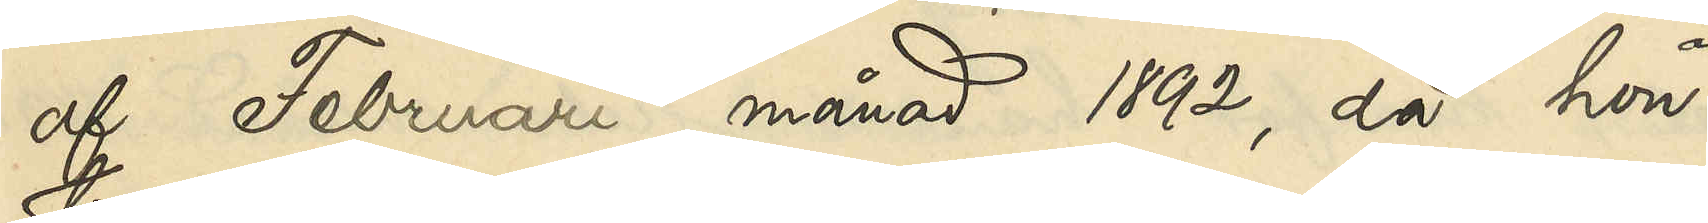af Februari månad 1892, då hon
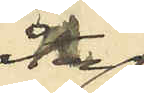åter
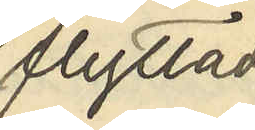flyttade
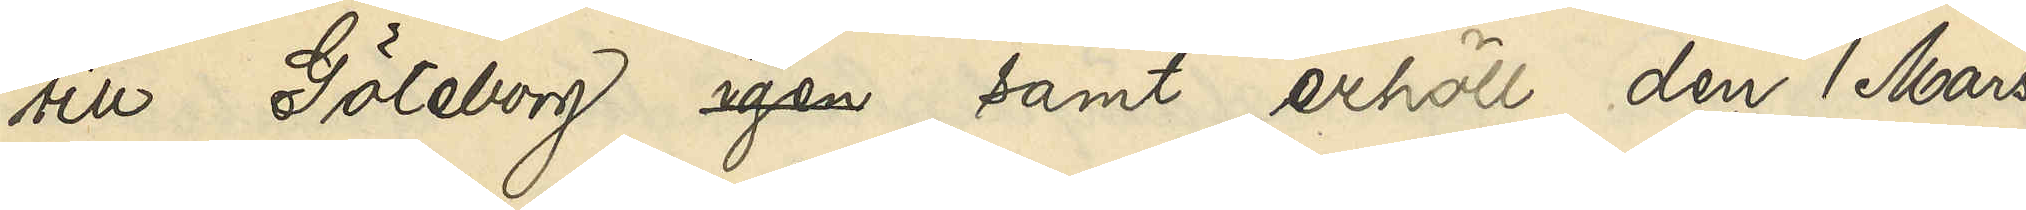till Göteborg igen samt erhöll den 1 Mars
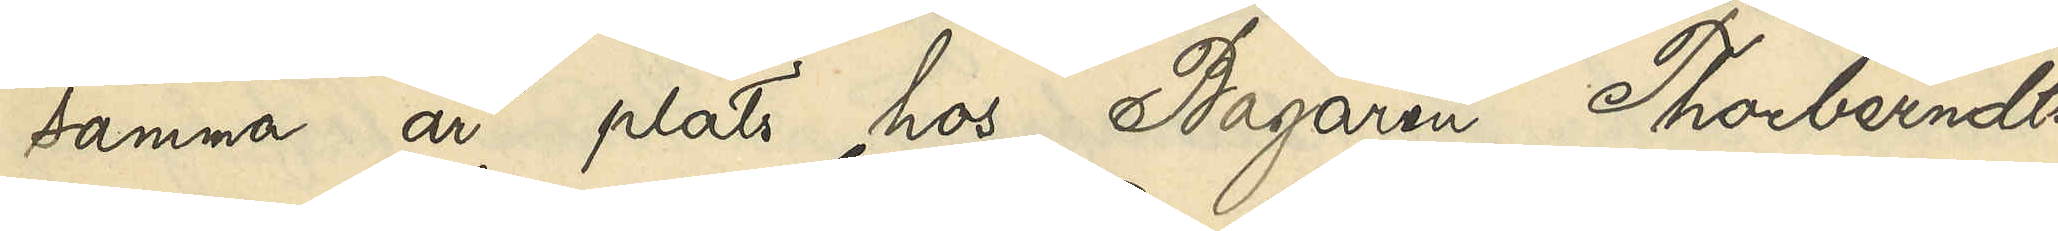samma år plats hos Bagaren Thorberndts¬
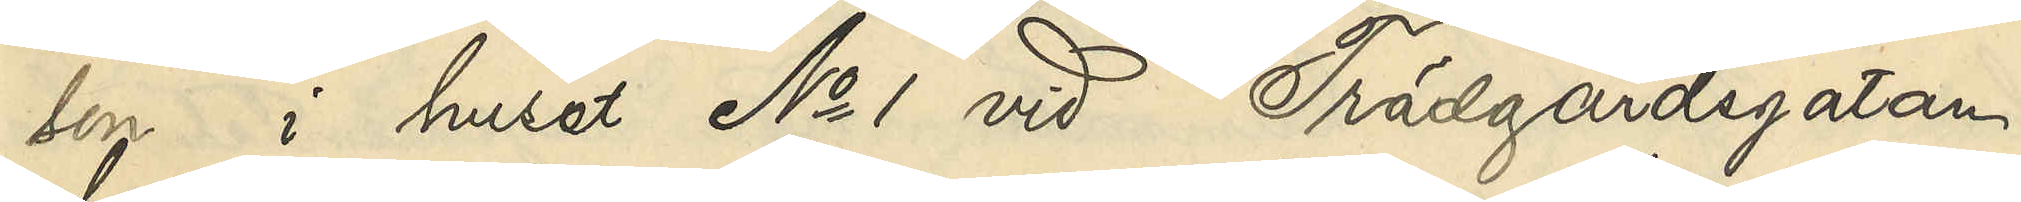son i huset No 1 vid Trädgårdsgatan,
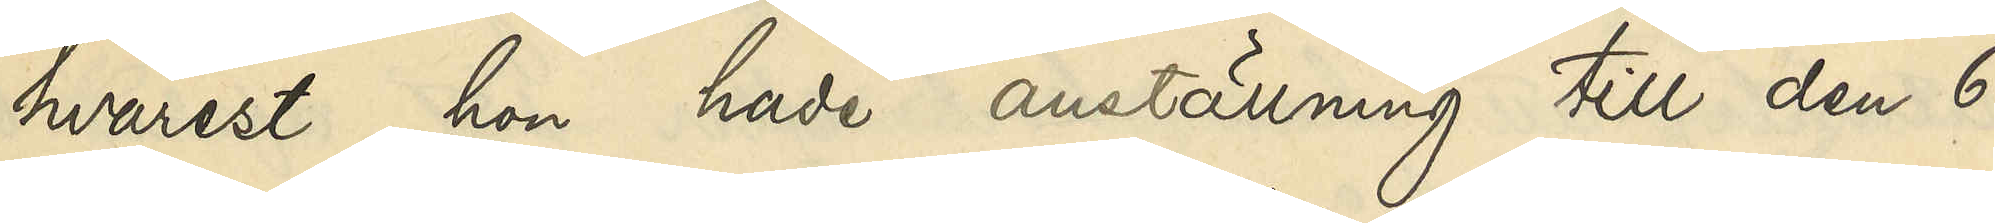hvarest hon hade anställning till den 6
